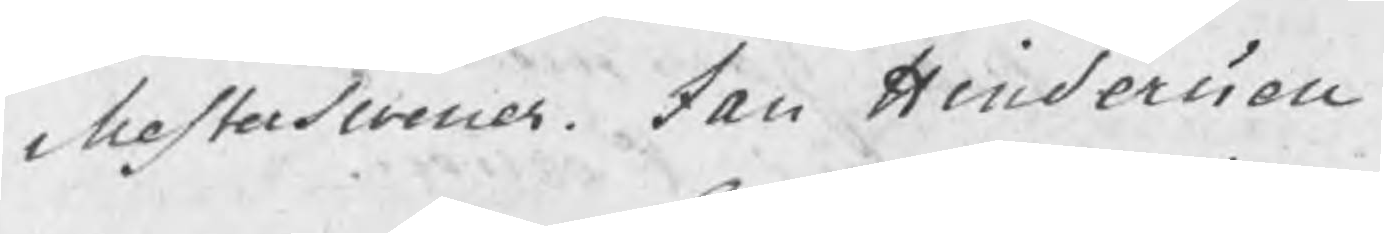Mesterswenner Jan Hindersson
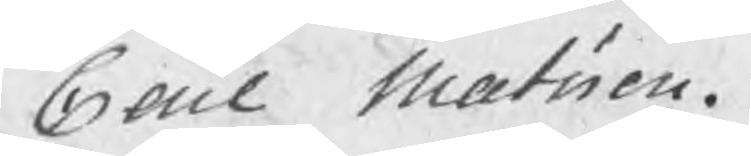Carl Matsson.
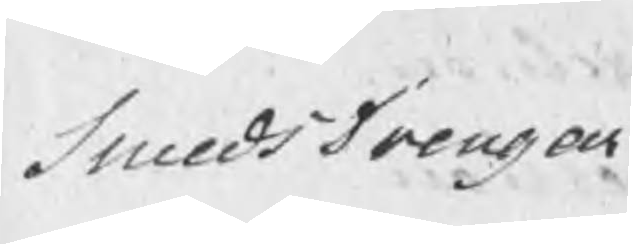SmedsDrengar
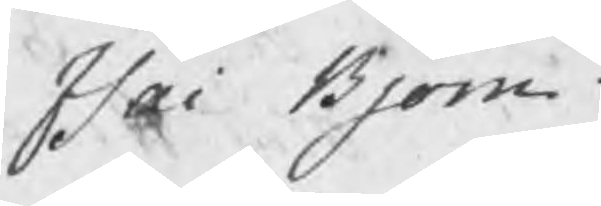Isac Bjorn
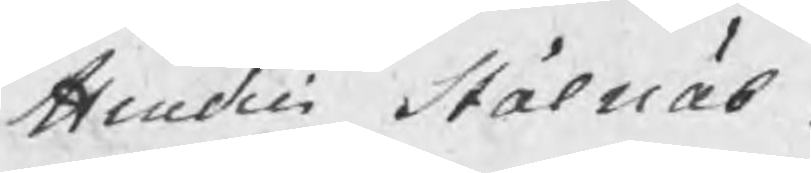Hindric Stålnäb.
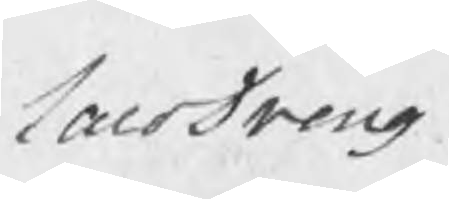LaroDreng
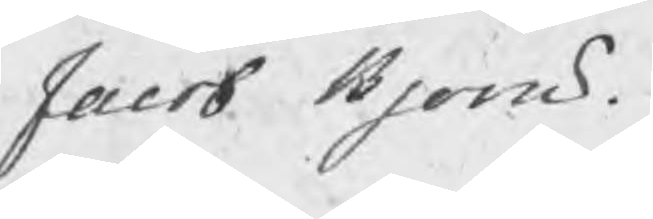Jacob Bjorn.
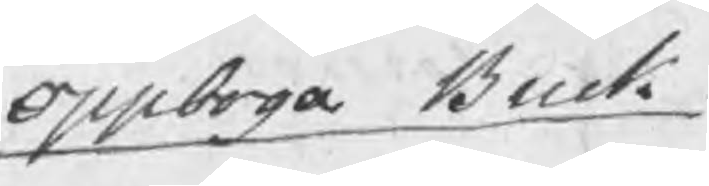Oppboga Bruk
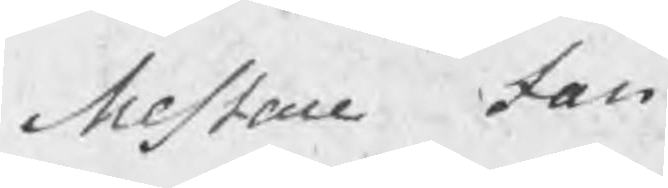Mestare Jan
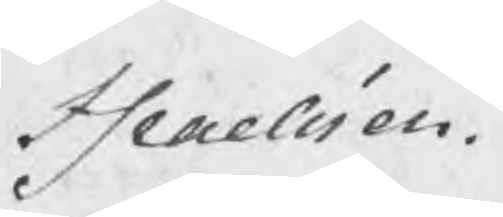Israelsson.
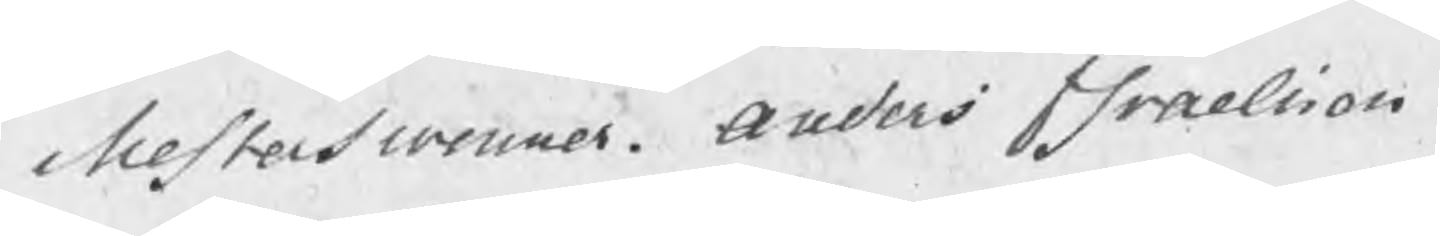Mesterswenner. Anders Israelsson
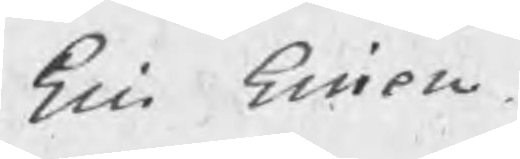Eric Ericson
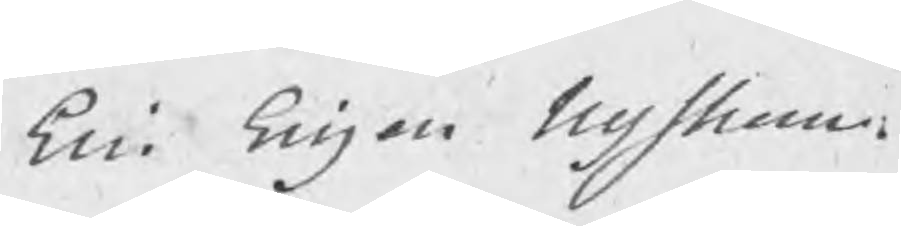Eric Ericson Nystrom.
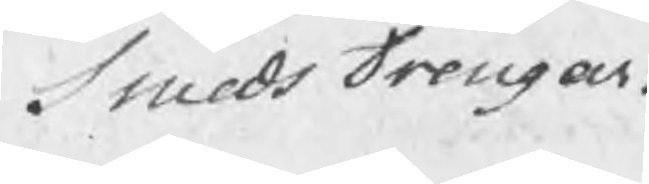SmedsDrengar
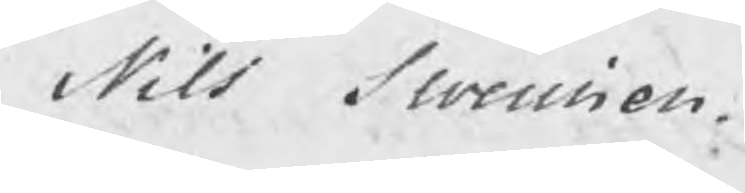Nils Swensson.
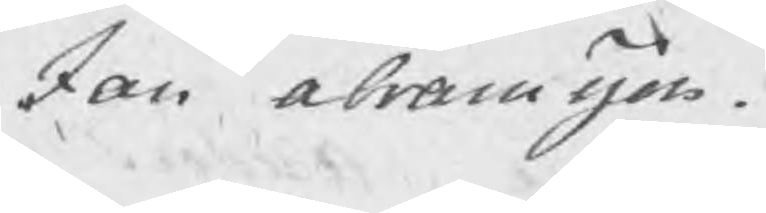Jan Abramsson.
